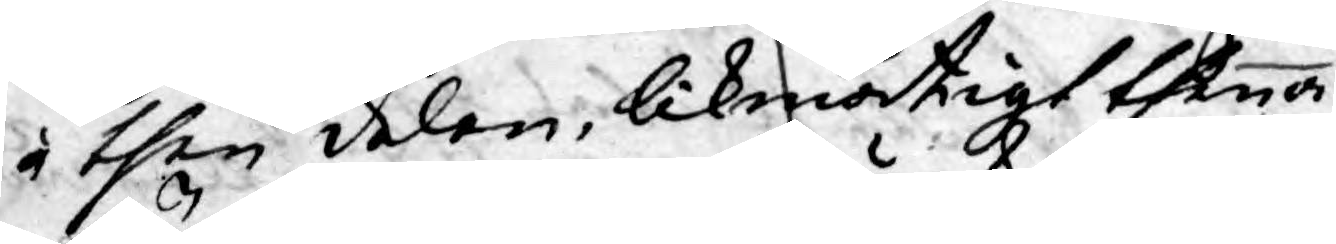i then delen, likmätigt thena
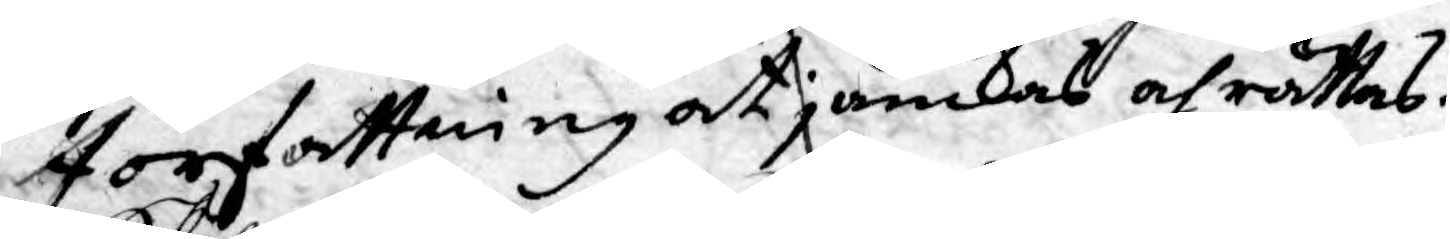Författning at jämkas och rättas.
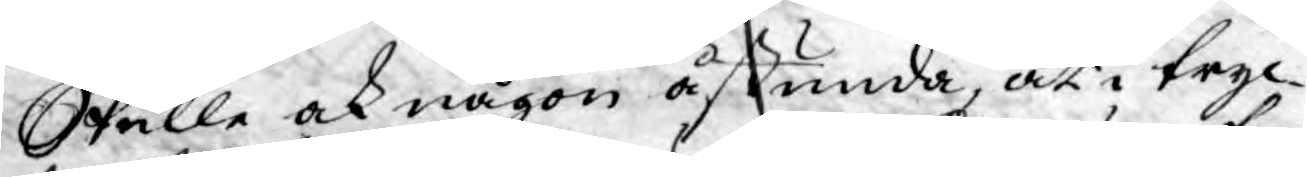Skulle ock någon åstunda, at i tryc¬
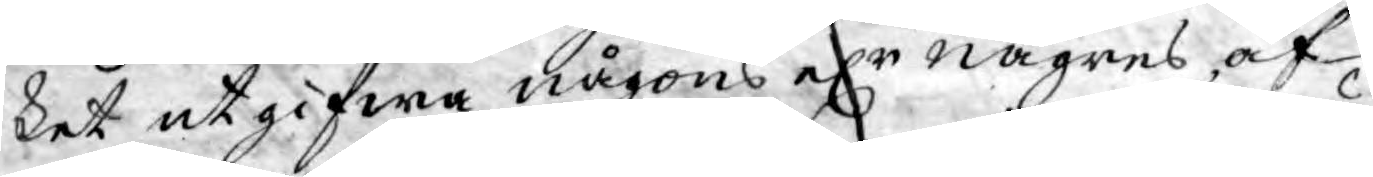ket utgifwa någons elr någres, af
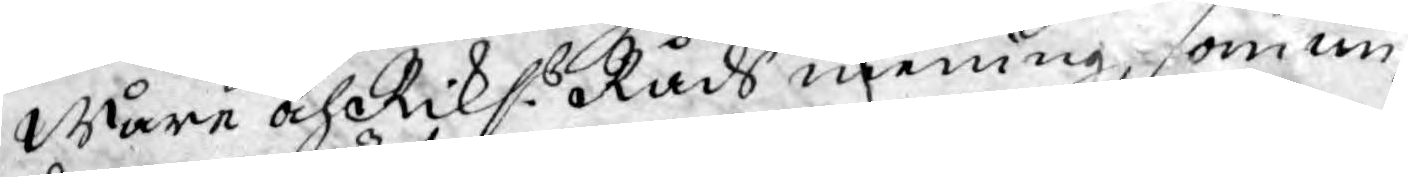Wåre och Riks:s Råds mening, som un¬
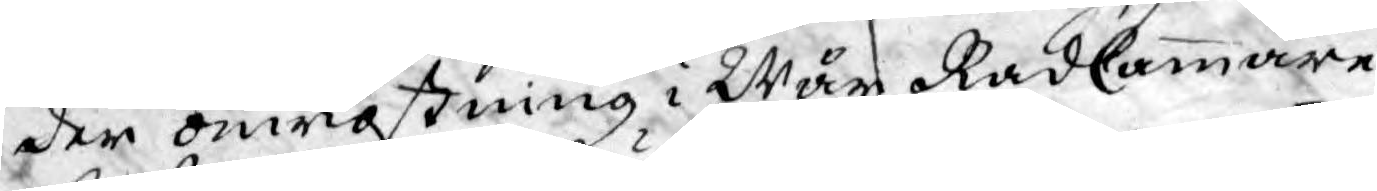der omröstning i Wår RådCammare
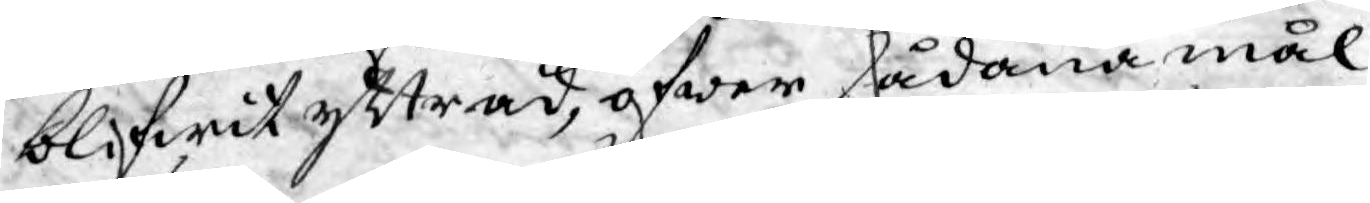blifwit yttrad, öfwer sådana mål
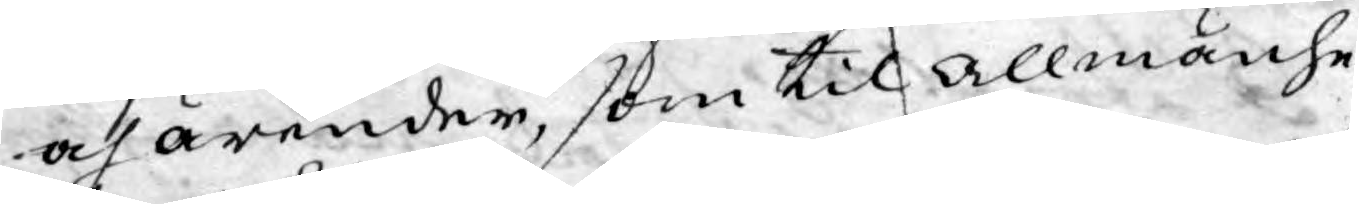och ärender, som til allmänhe¬
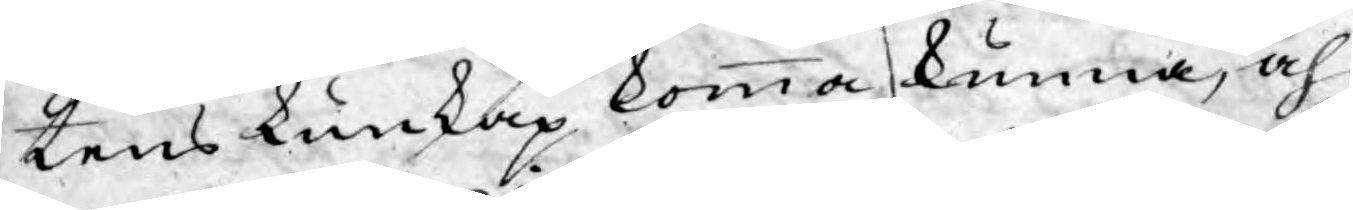tens kunskap komma kunna, och
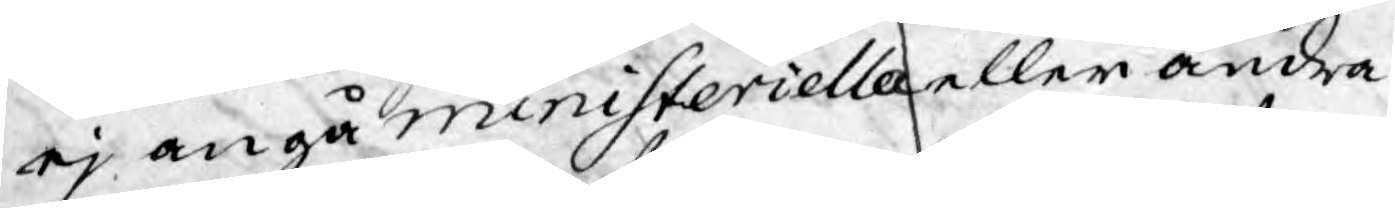ej angå ministeriella eller andra
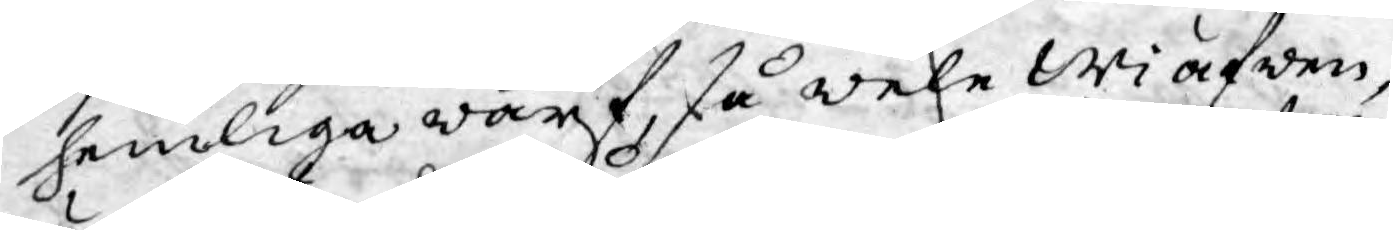hemliga wärf, så wele Wi äfwen,
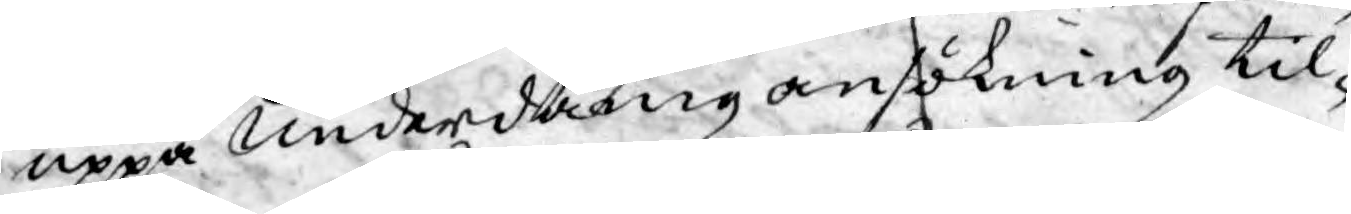uppå underdånig ansökning til¬
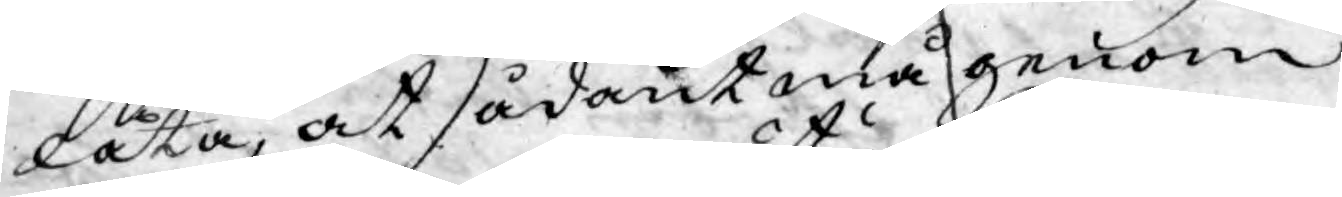låta, at sådant må genom
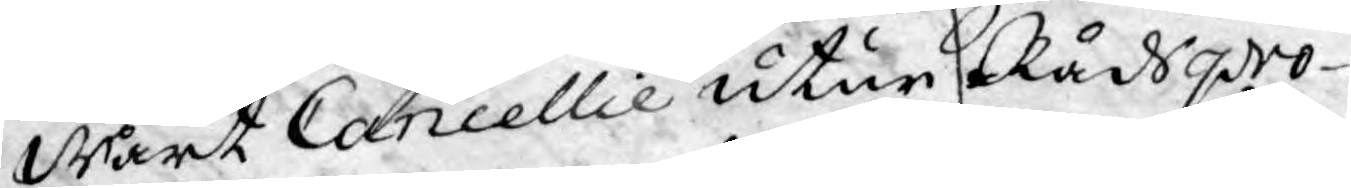Wårt Cancellie utur Rådspro¬
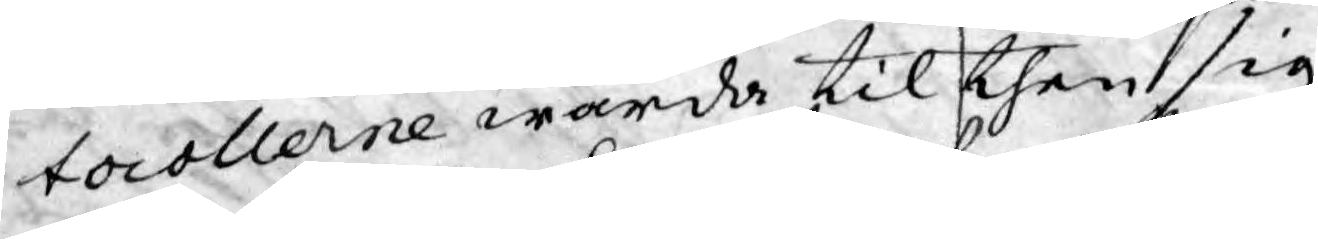tocollerne warda til then sig
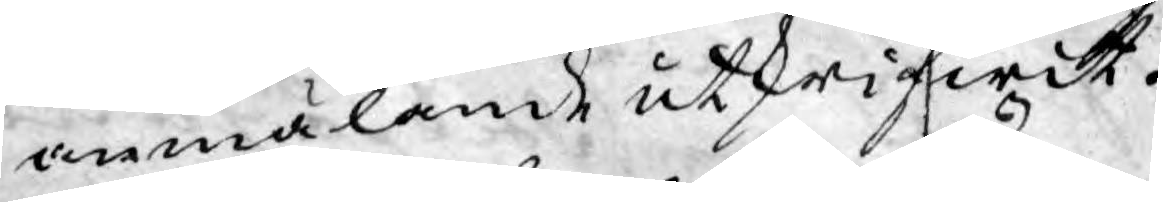anmälande utskrifwit.
